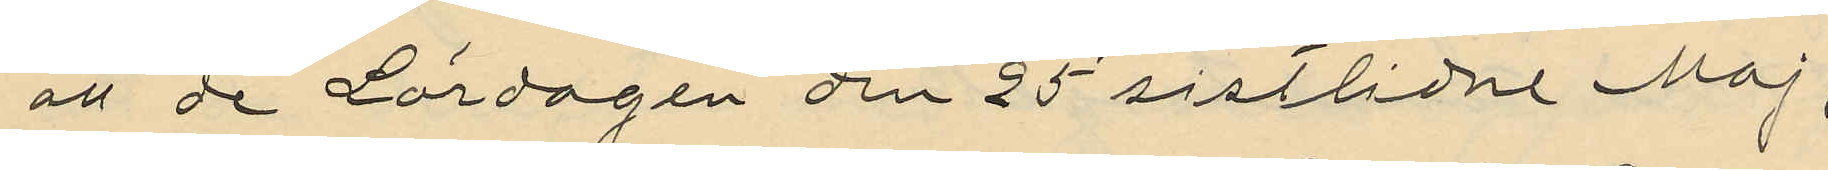att de Lördagen den 25 sistlidne Maj,
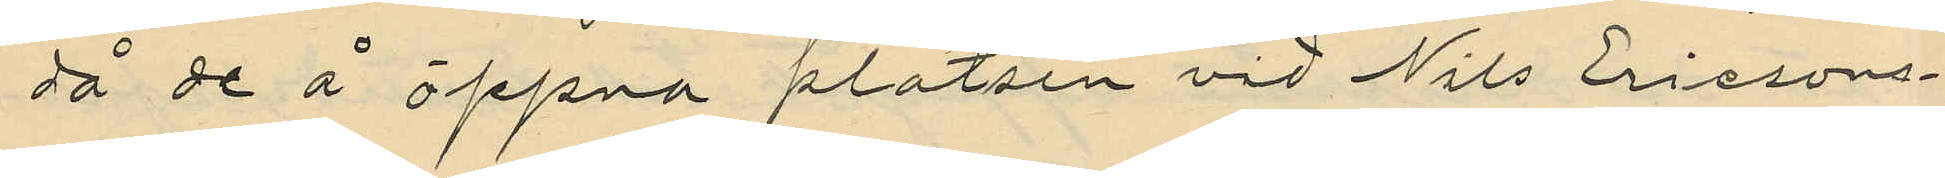då de å öppna platsen vid Nils Erissons¬
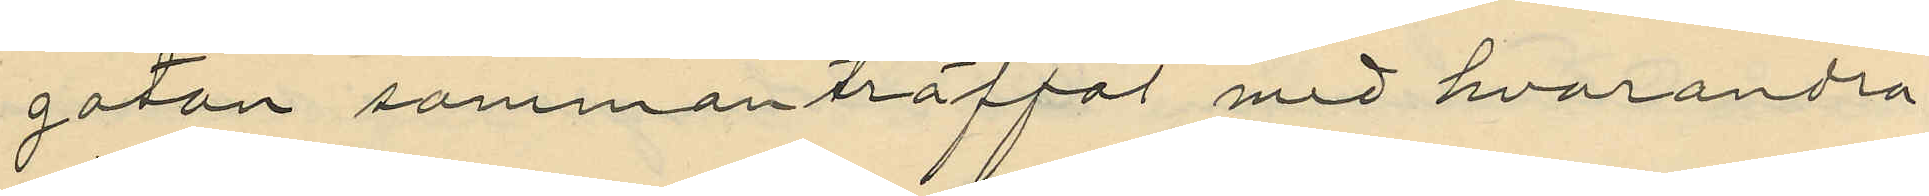gatan sammanträffat med hvarandra
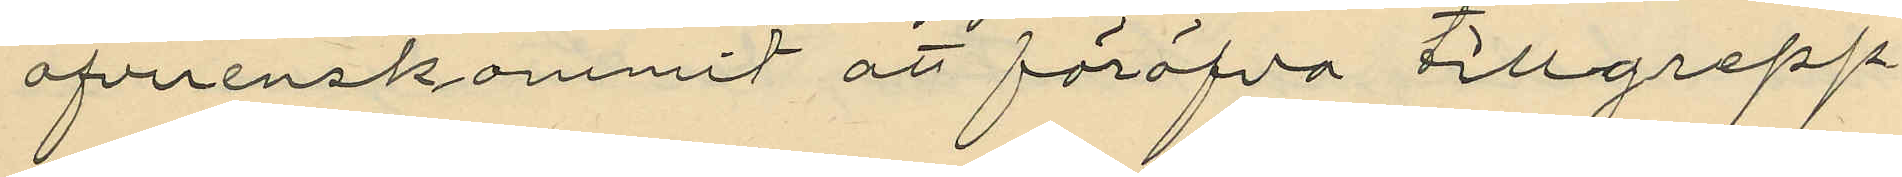öfverenskommit att föröfva tillgrepp
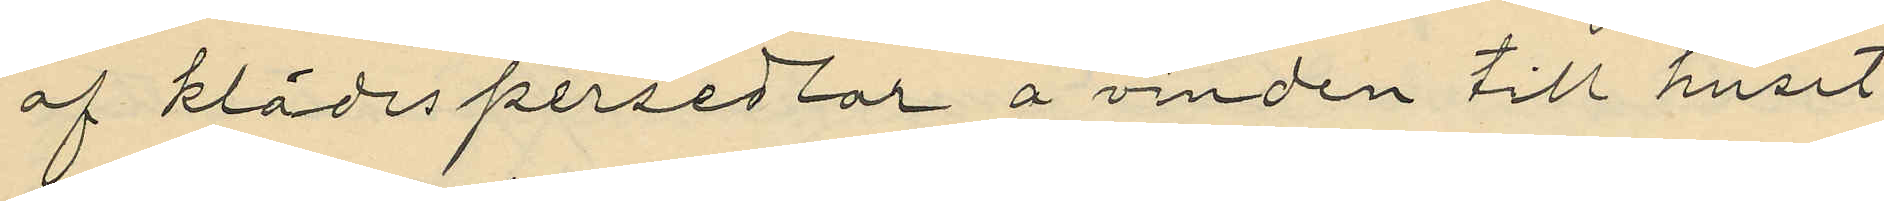af klädespersedlar å vinden till huset
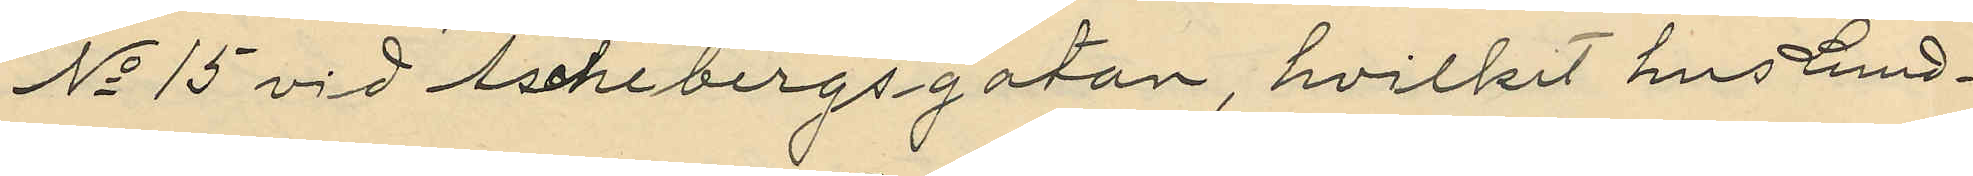No 15 vid Aschebergsgatan, hvilket hus Lund¬
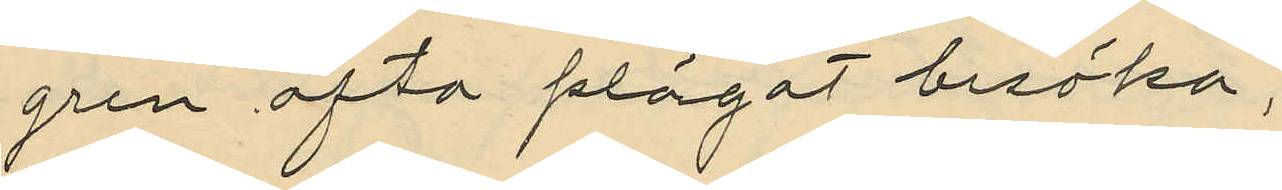gren ofta plägat besöka,
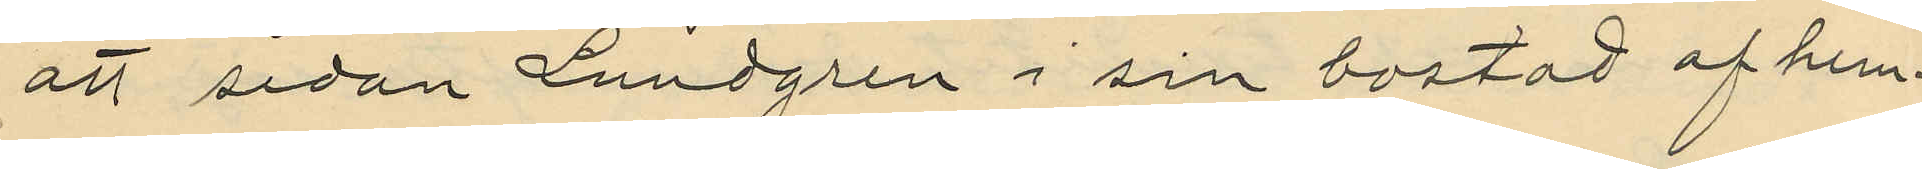att sedan Lundgren i sin bostad af hem¬
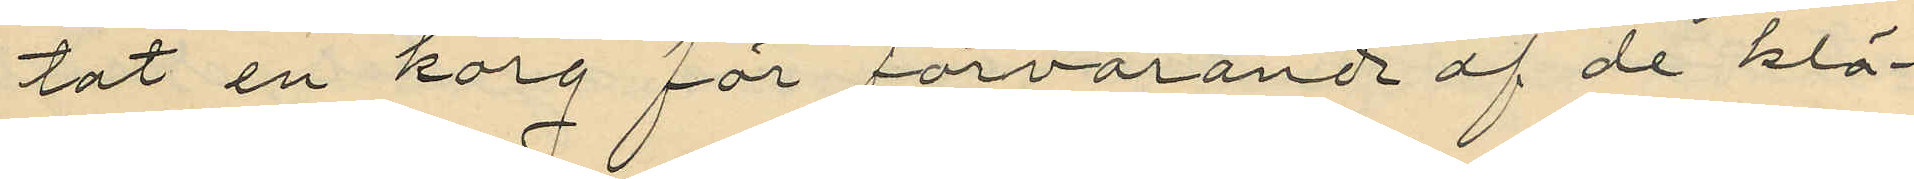tat en korg för förvarande af de klä¬
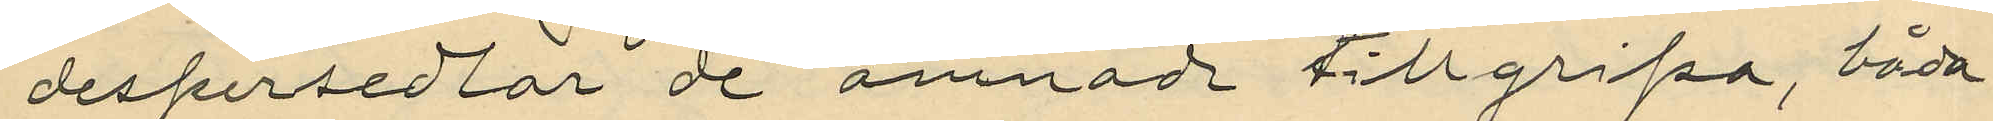despersedlar de ämnad tillgripa, båda
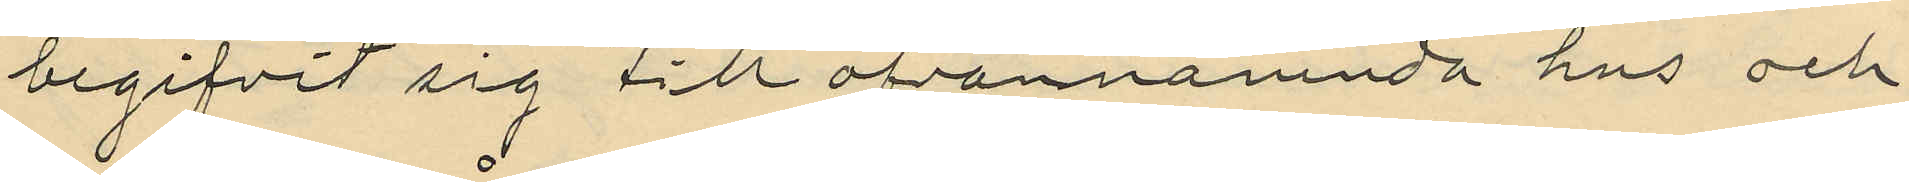begifvit sig till ofvannämnda hus och
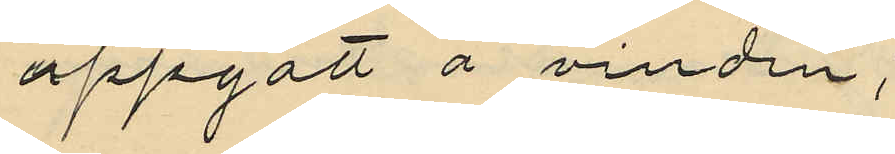uppgått å vinden;
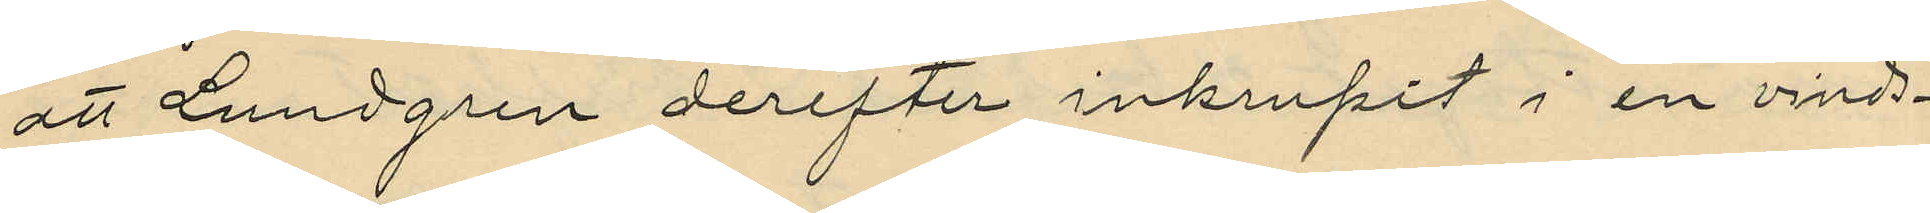att Lundgren derefter inkrupit i en vinds¬
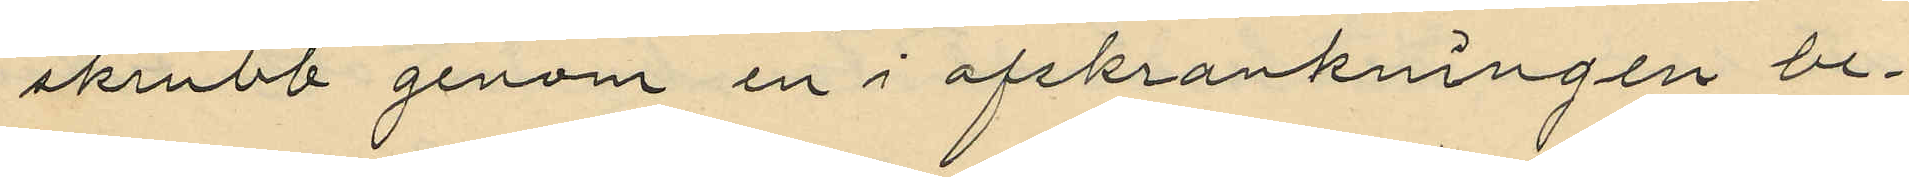skrubb genom in i afskrankningen be¬
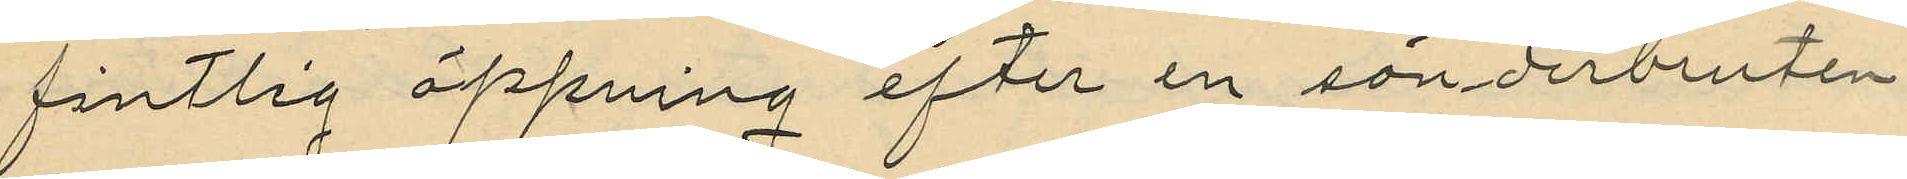fintlig öppning efter en sönderbruten
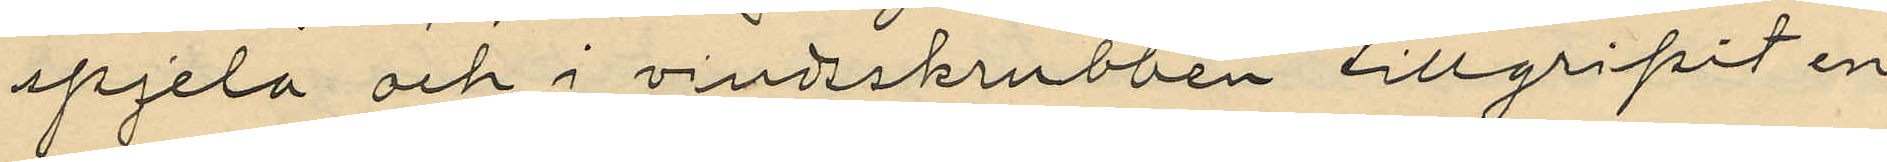spjela och i vindsskrubben tillgripit en
